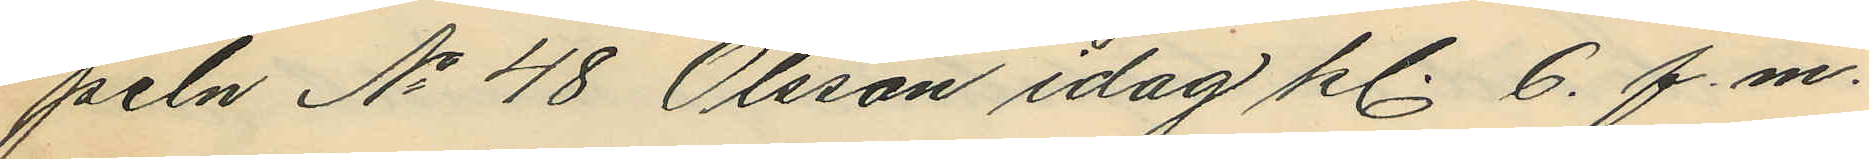peln No 48 Olsson idag kl 6. f.m.
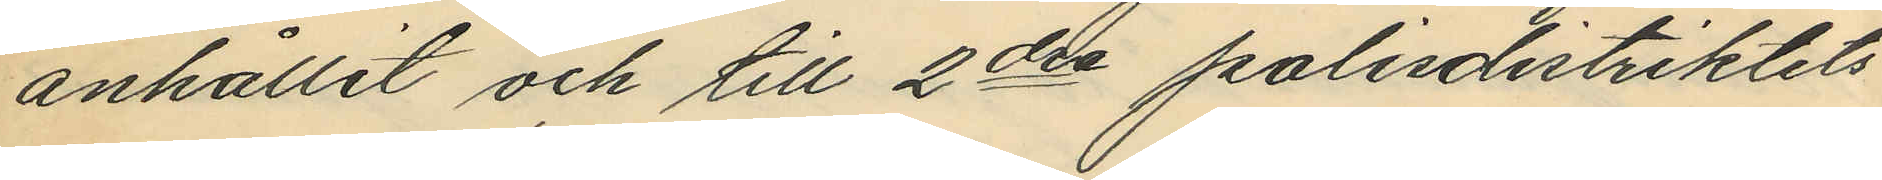anhållit och till 2dra polisdistriktets
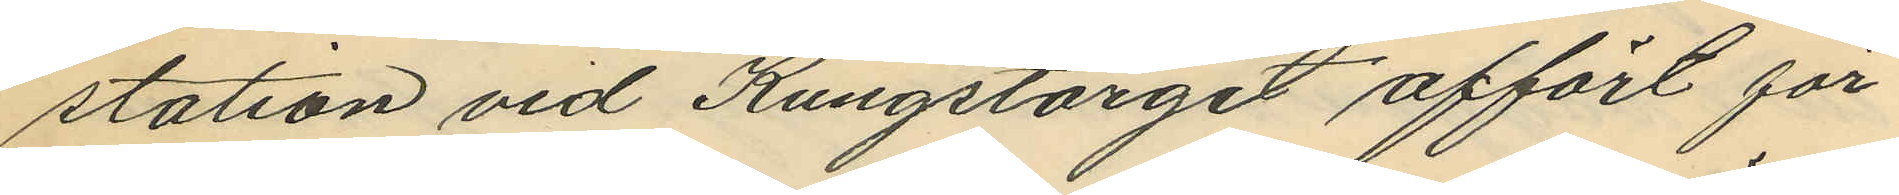station vid Kungstorget affört för
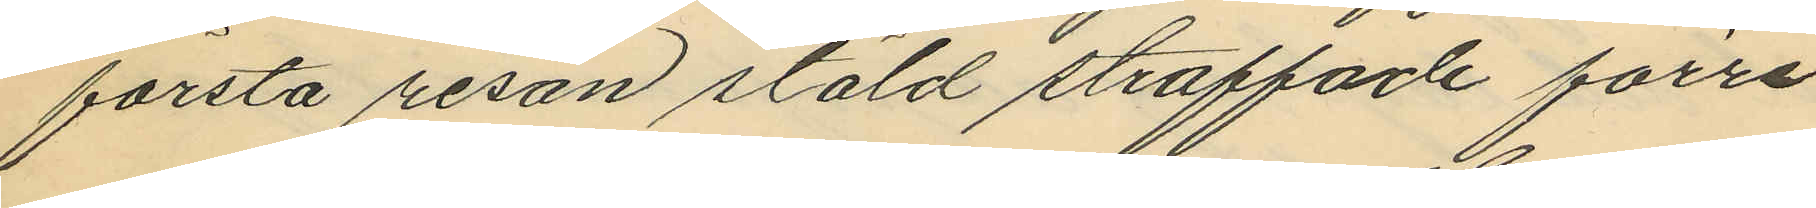första resan stöld straffade förre
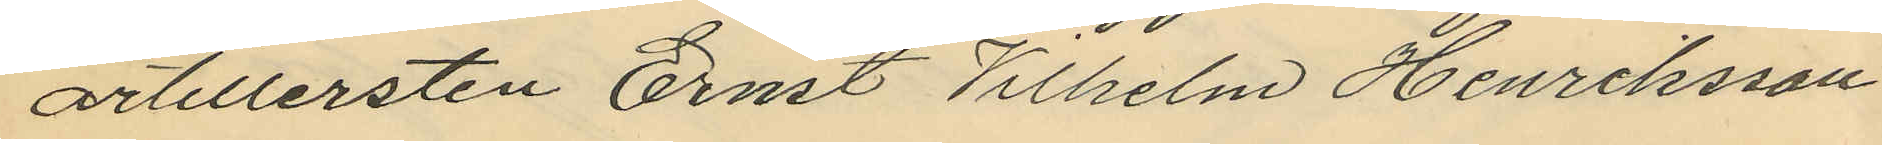artillersten Ernst Wilhelm Henriksson
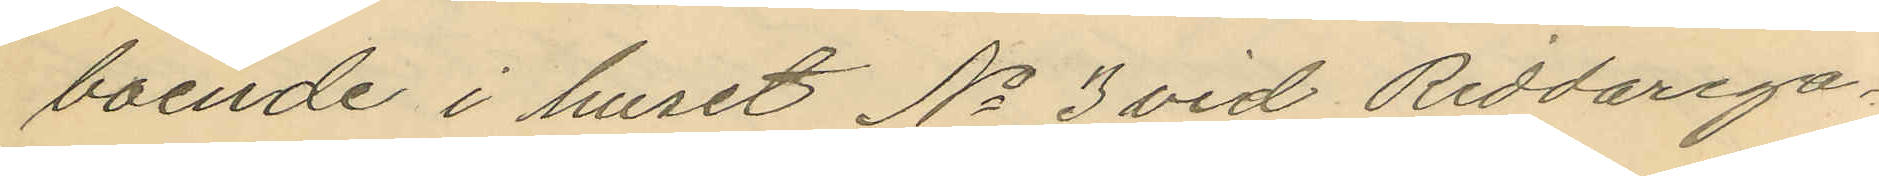boende i huset No 3 vid Riddarega¬
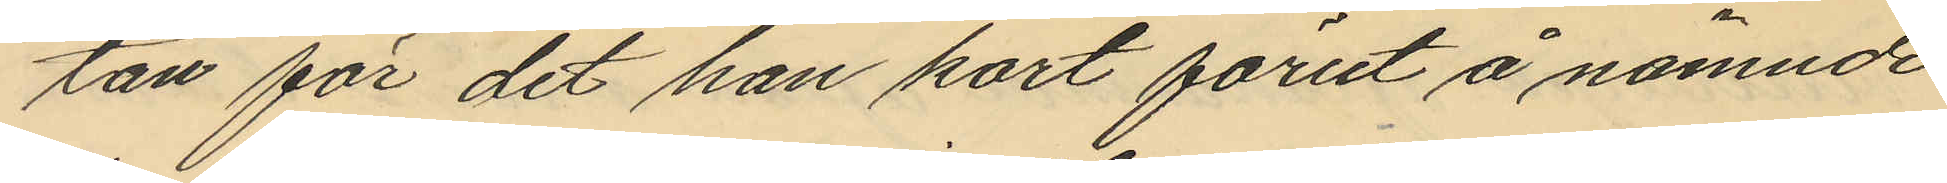tan för det han kort förut å nämnde
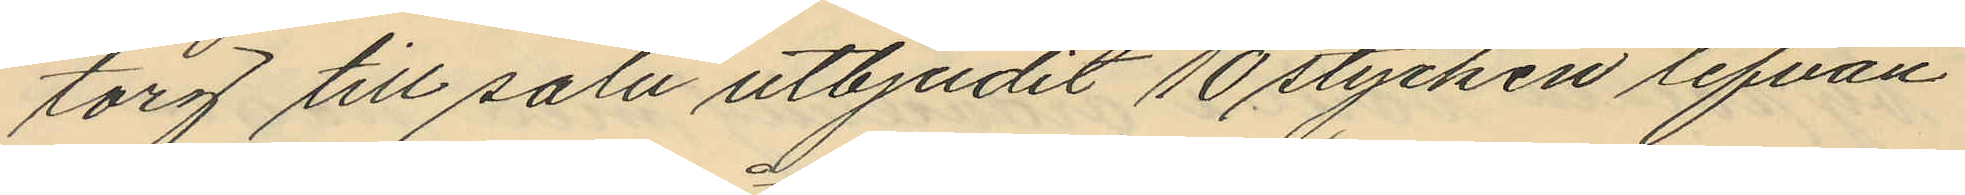torg till salu utbjudit 10 stycken lefvan¬
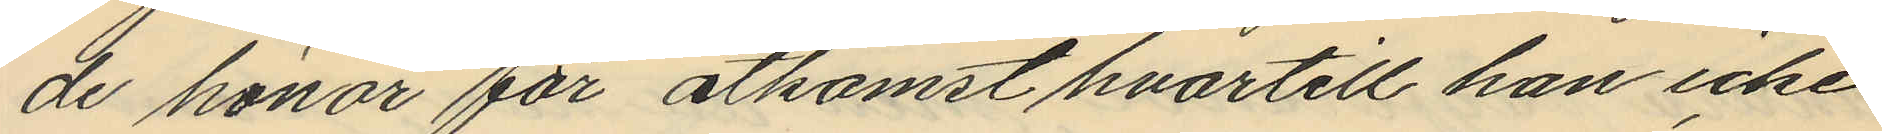de hönor för åtkomst hvartill han icke
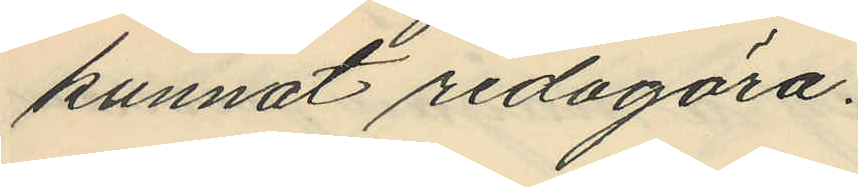kunnat redogöra.
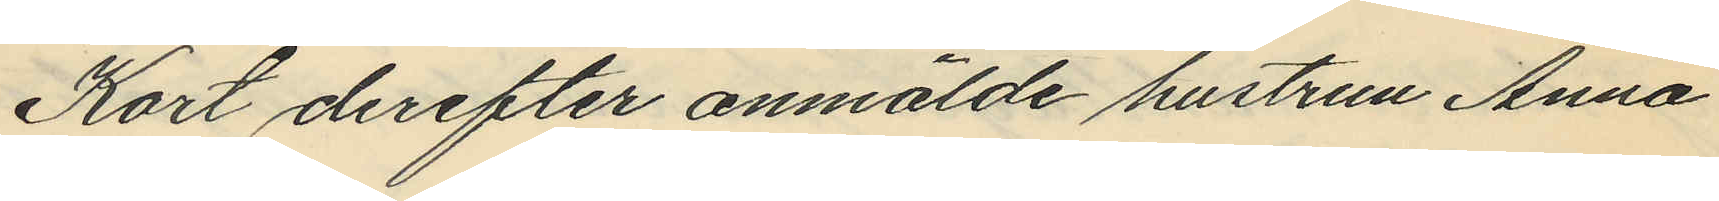Kort derefter anmälde hustrun Anna
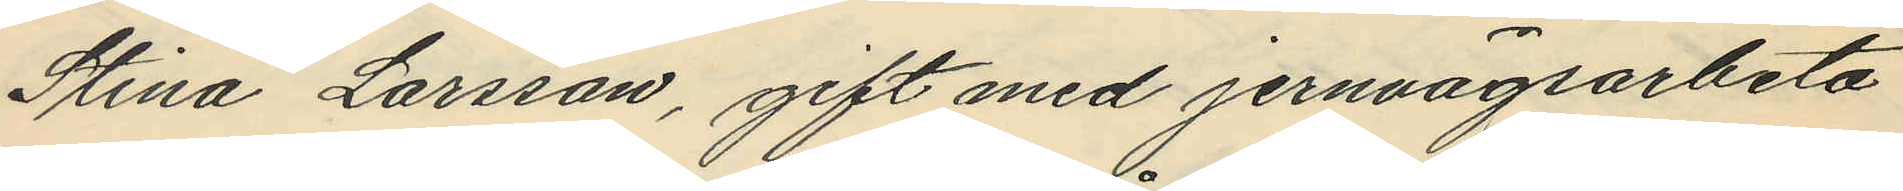Stina Larsson, gift med jernvägsarbeta
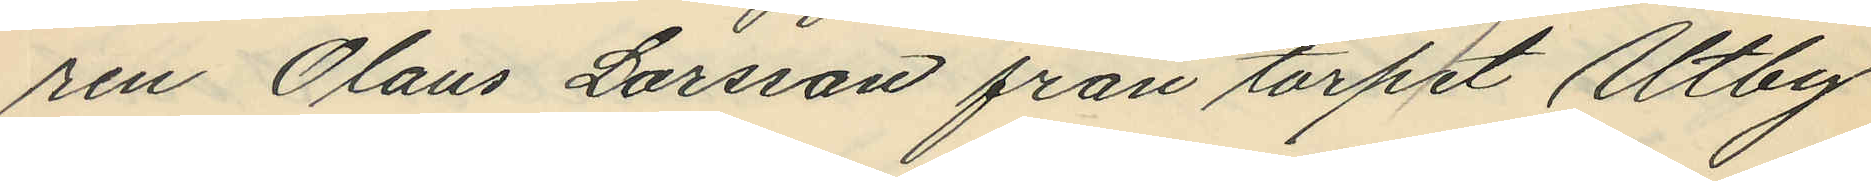ren Olaus Larsson från torpet Utby
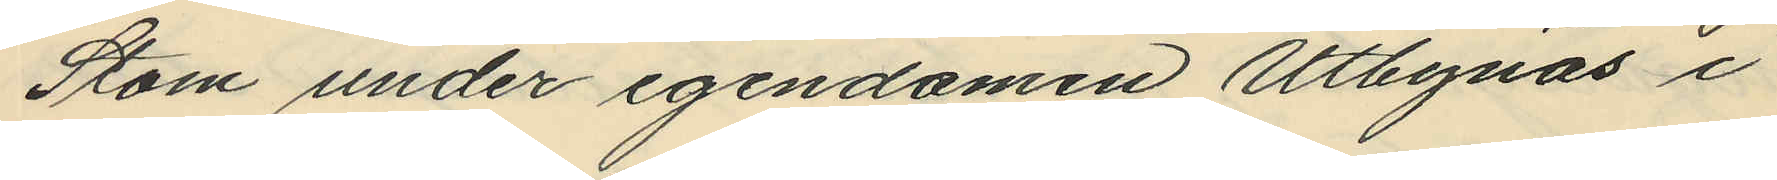Stom under egendomen Utbynäs i
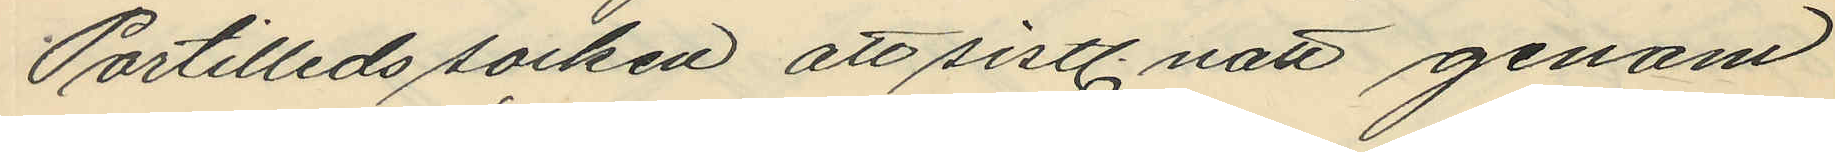Partilleds socken att sistl. natt genom
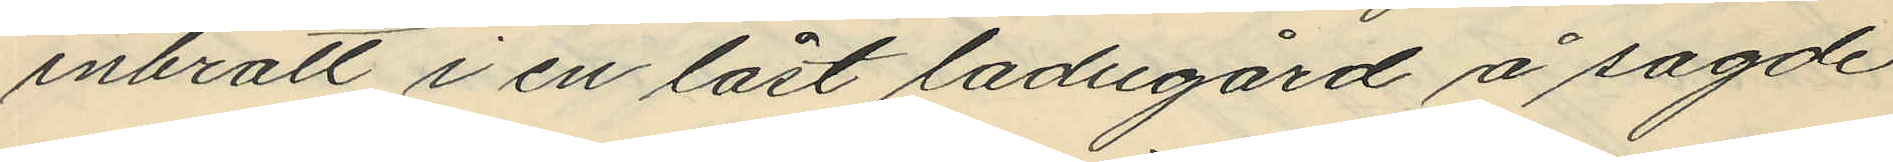inbrott i en låst ladugård å sagde
